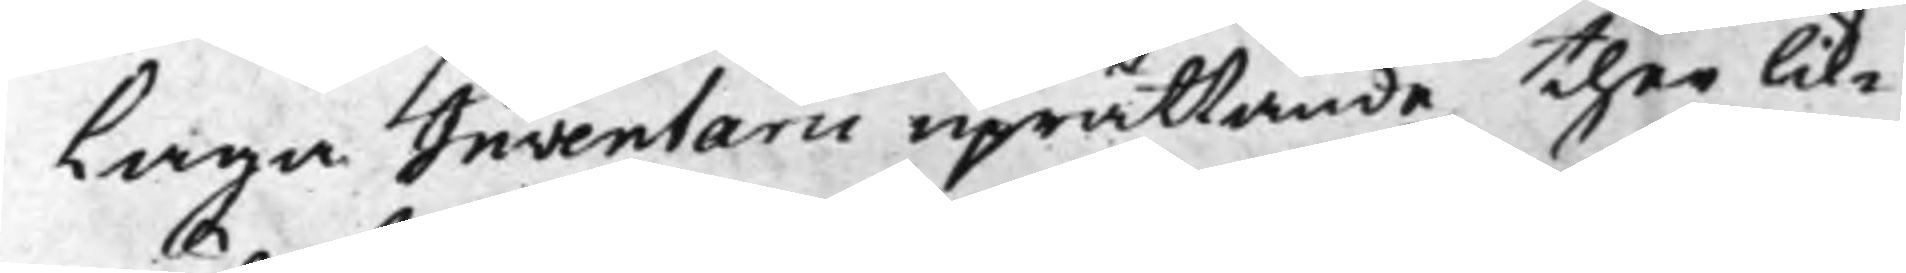Laga Inventarii uprättande, ther lik¬
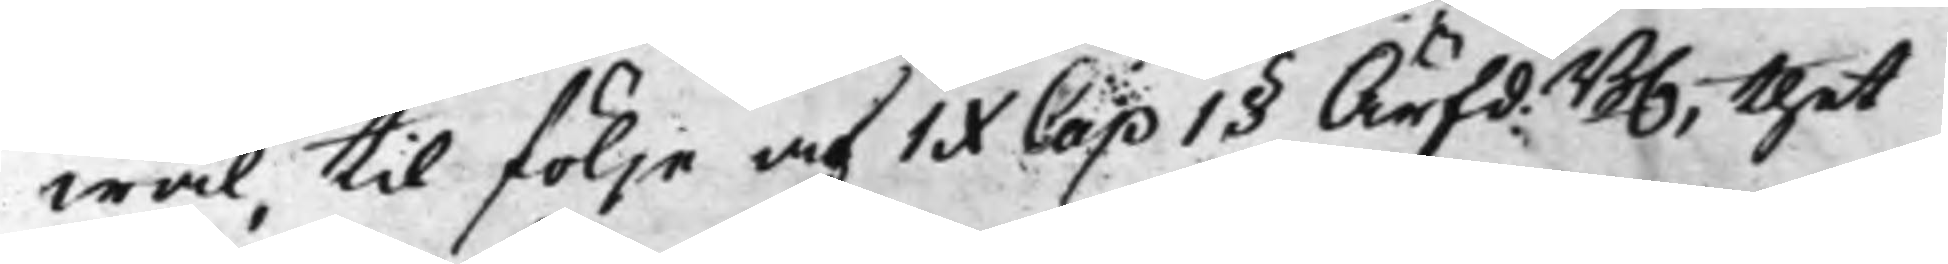wäl, til följe af IX Cap 1§ Ärfd:B., thet 
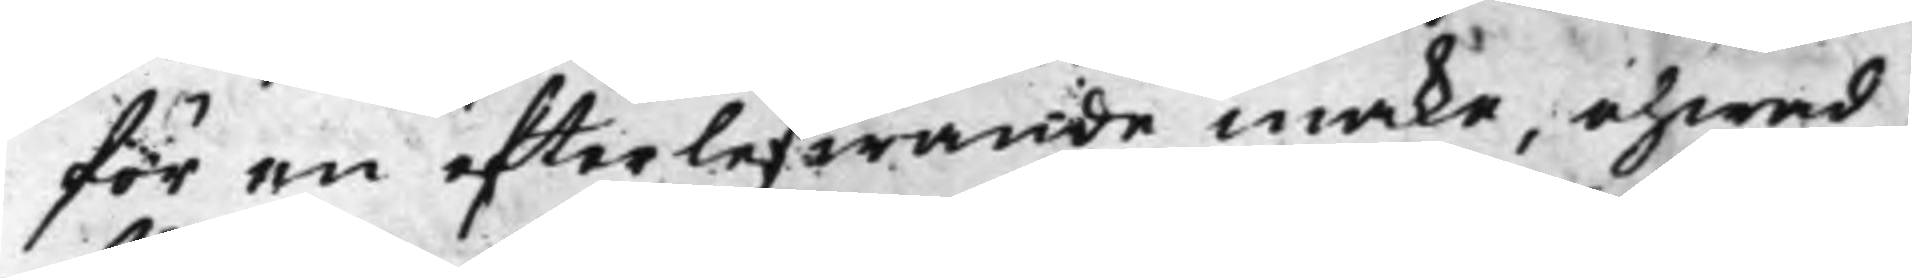för en efterlefwande make, ehwad
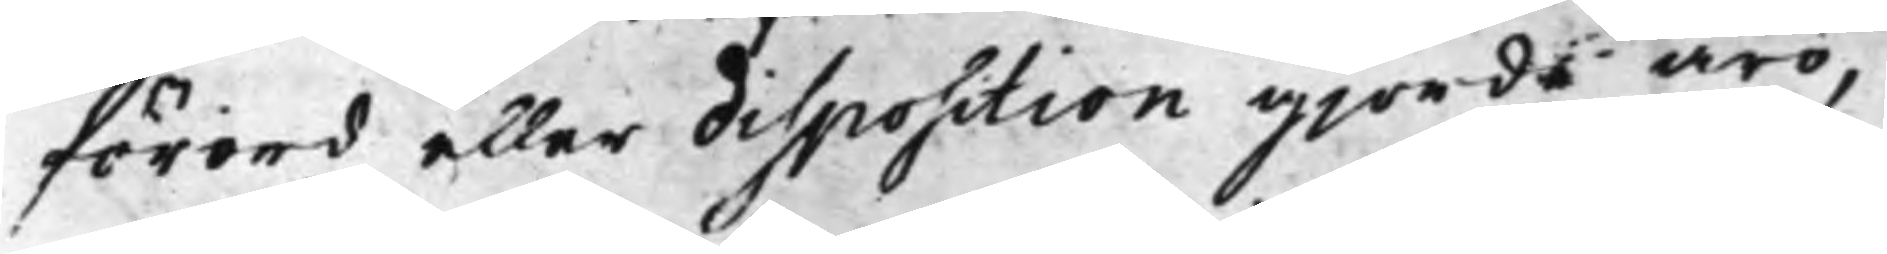förord eller disposition gjorde äro,
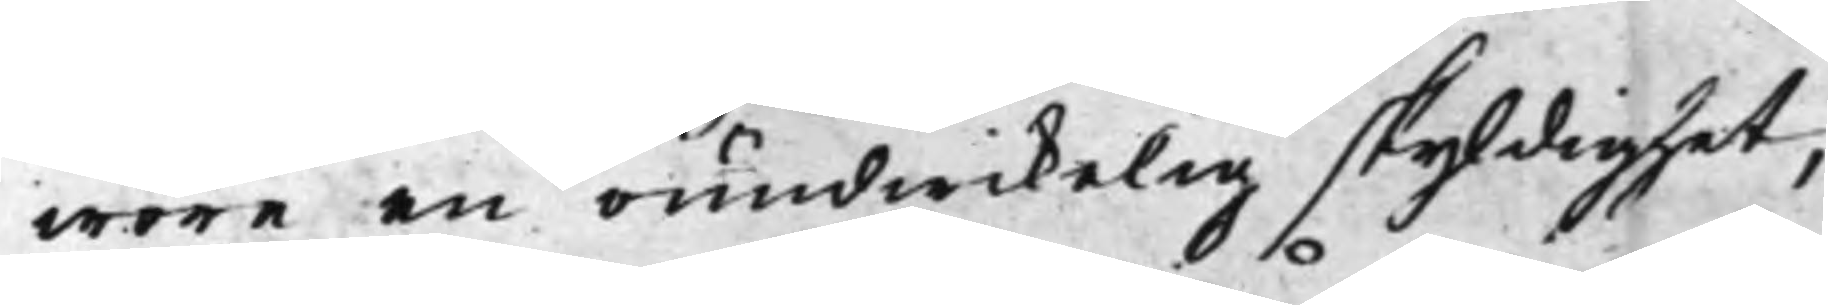wore en oundwikelig skyldighet,
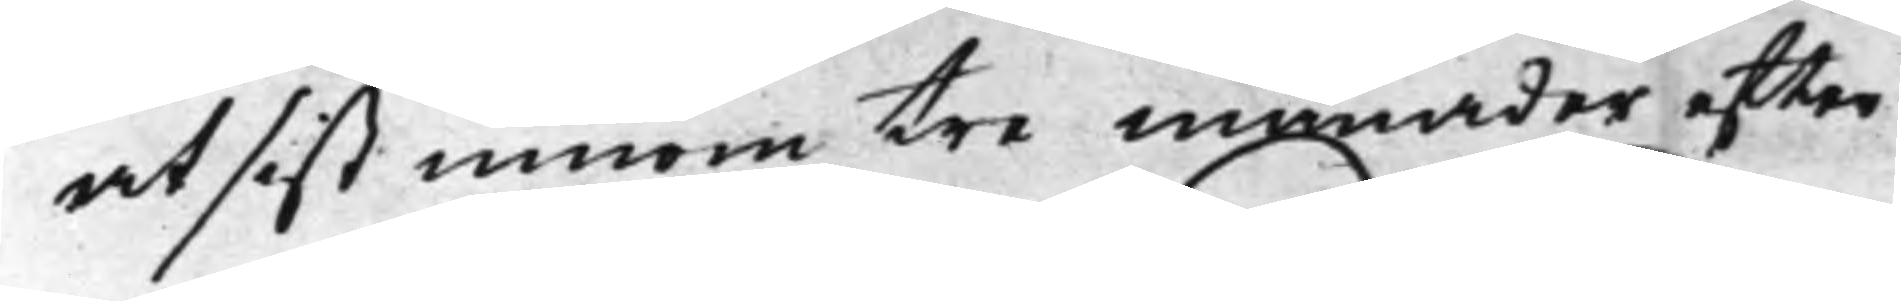at sist innom tre månader efter
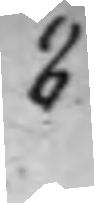8
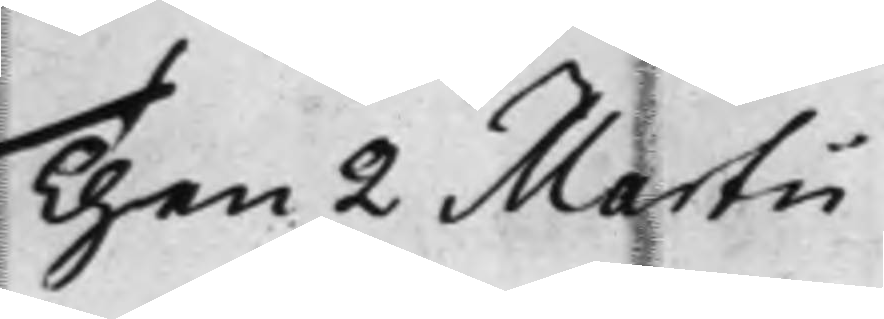Then 2 Martii
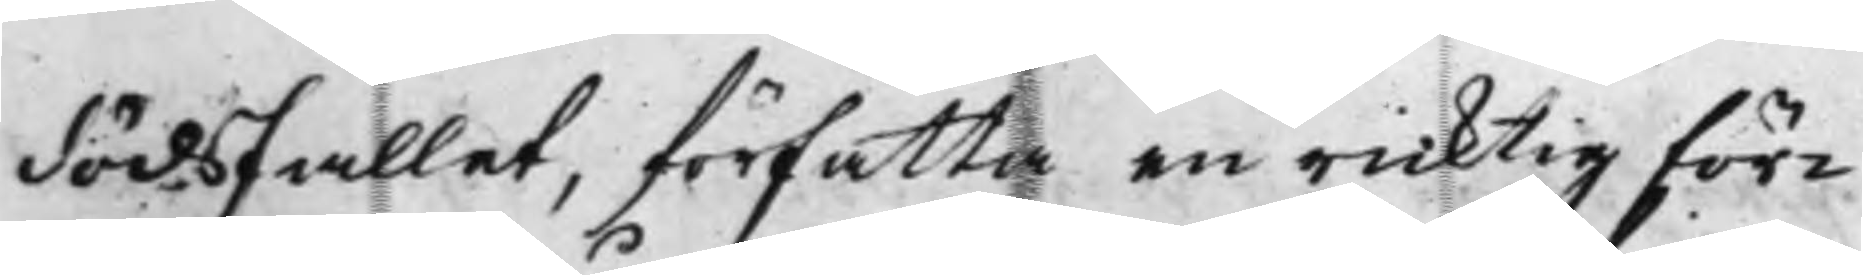dödsfallet, författa en ricktig för¬
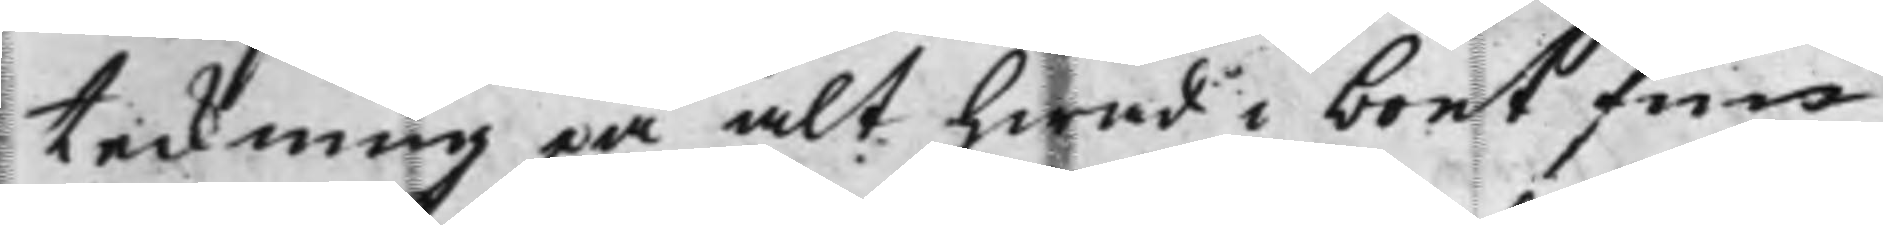teckning på alt hwad i boet fin¬
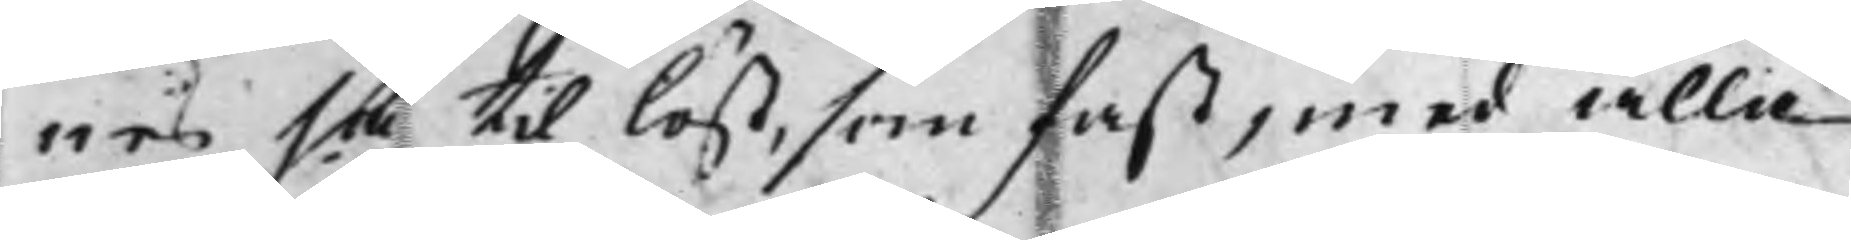nes, så til löst, som fast, med alla
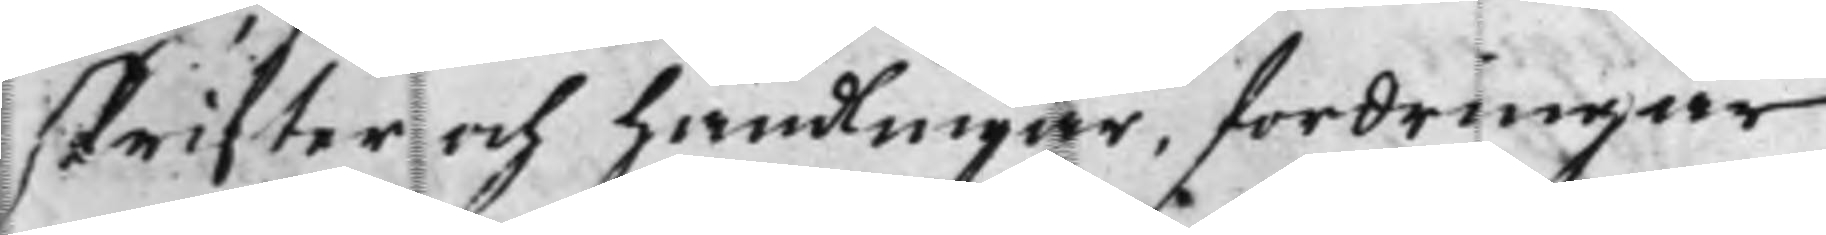skrifter och handlingar, fordringar
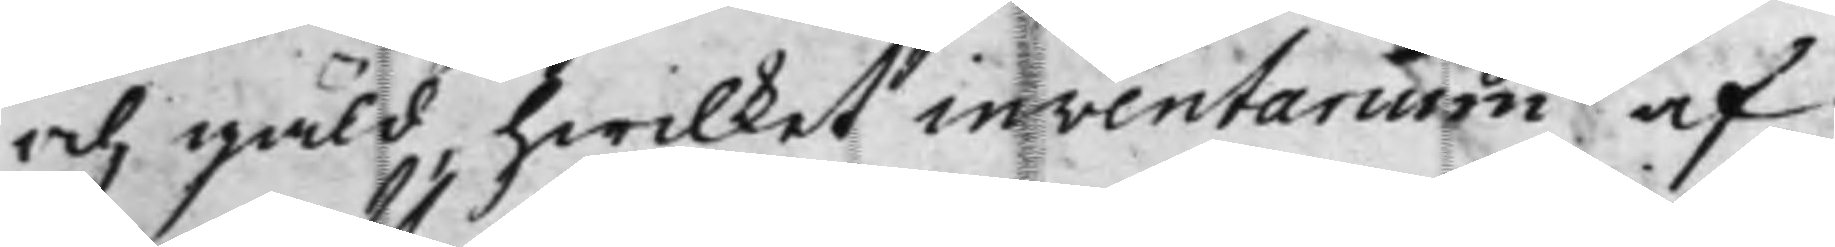och gäld, hwilket inventarium af
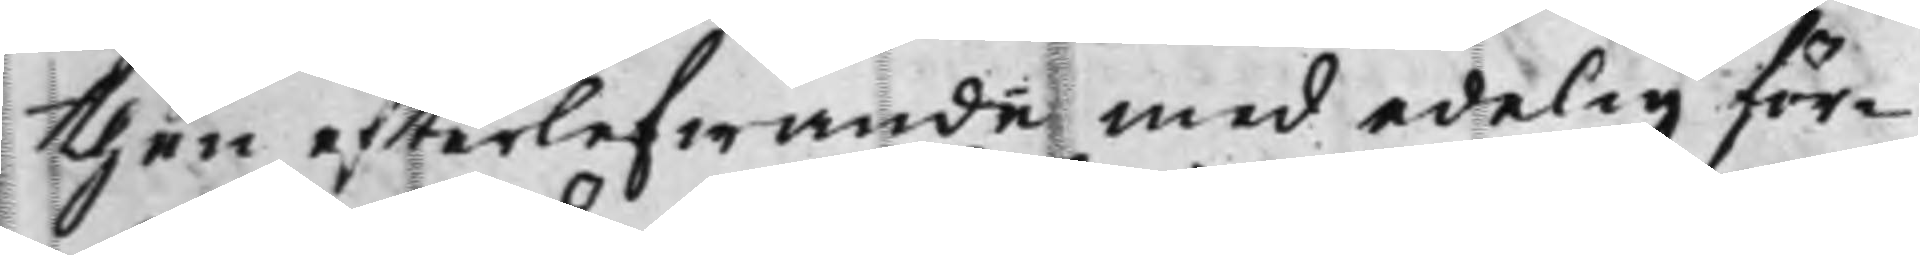then efterlefwande med edelig för¬
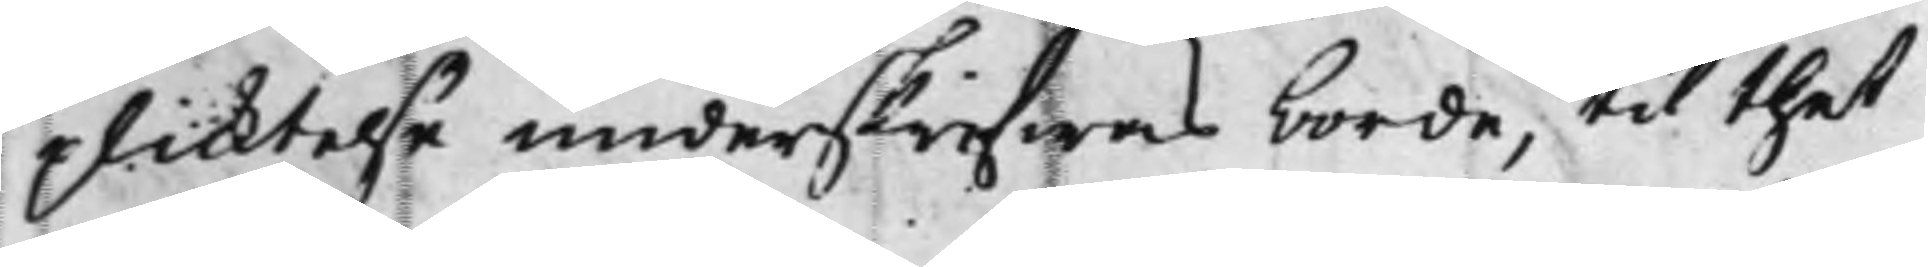plicktelse underskrifwas borde, til thet
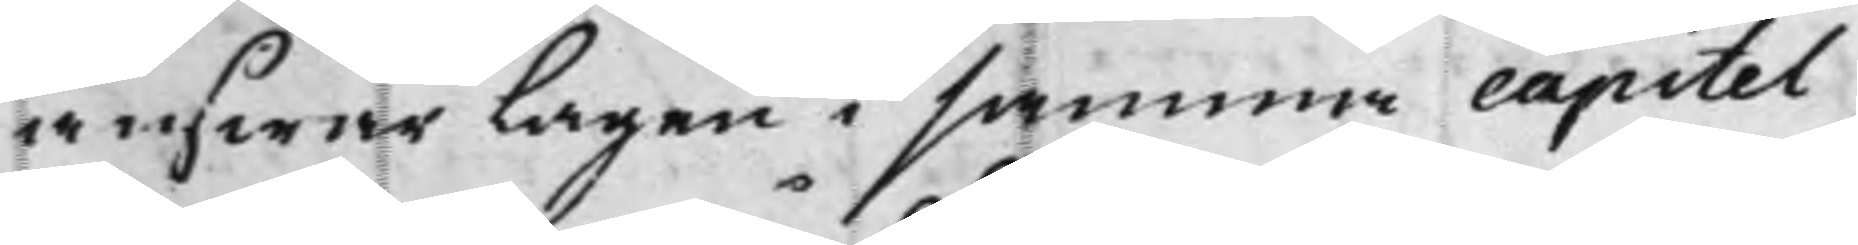answar Lagen i samma capitel
